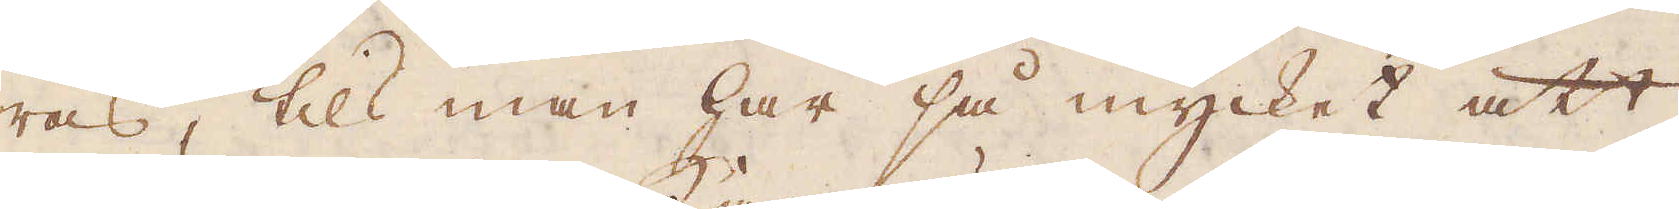ras, tils man har så mycket att
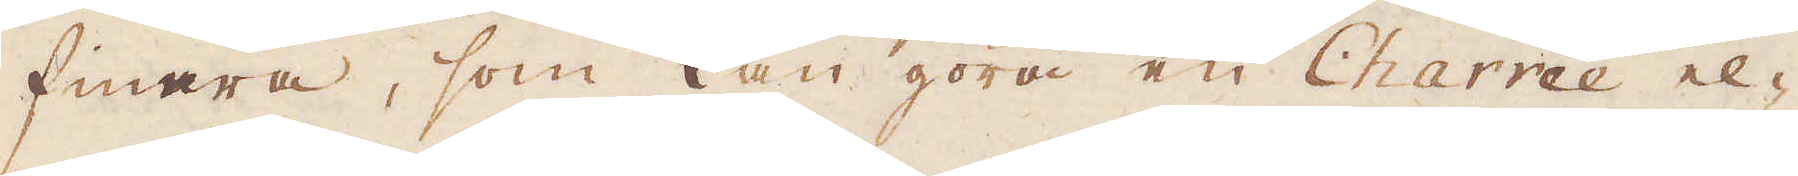finare, som kan göra en Charrée el-
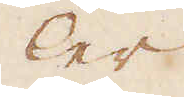ler
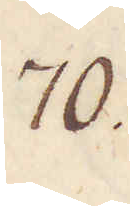70.
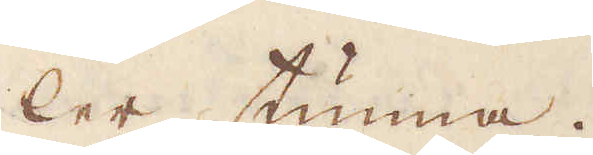ler tunna.
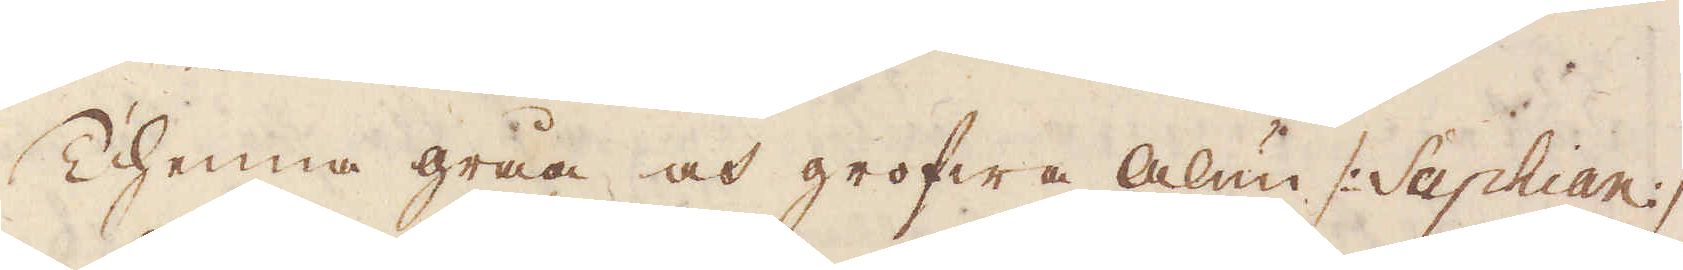Thenna gråa och grofwa Alun /: Saphian :/
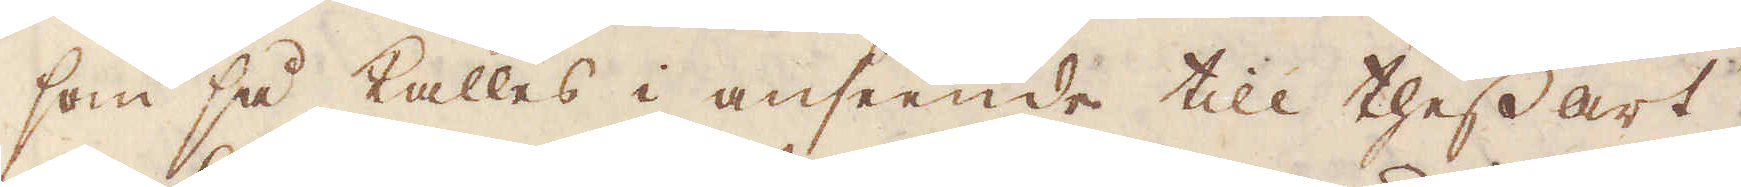som så kalles i anseende till thess art
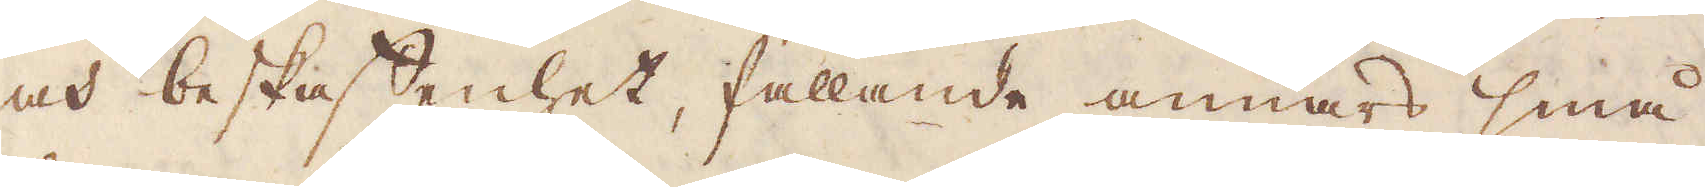och beskaffenhet, fallande annars små
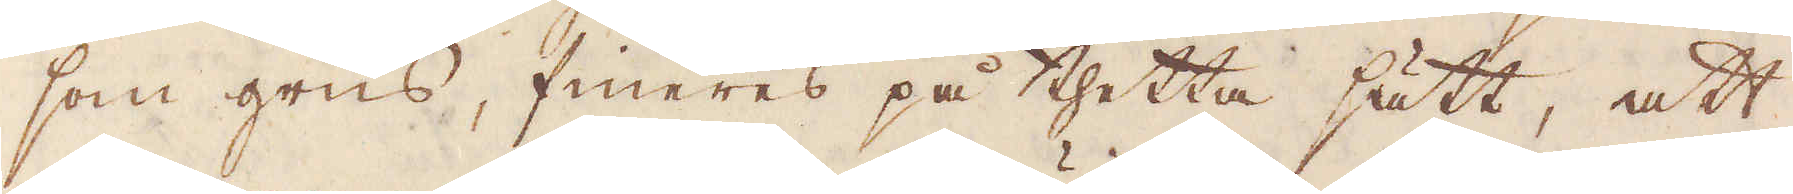som grus, fineres på thetta sätt, att
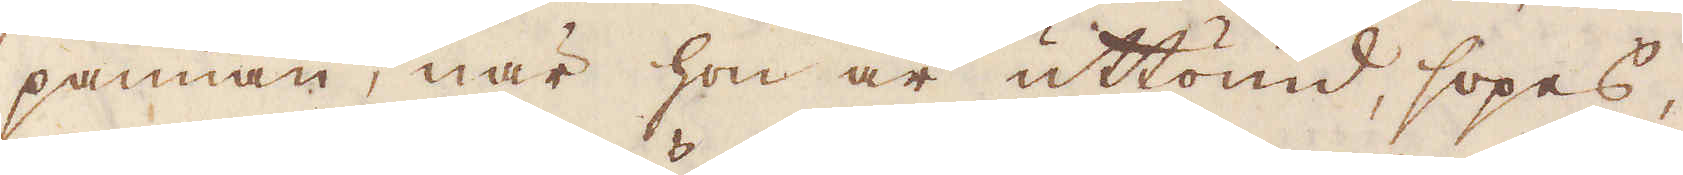pannan, när hon är uttömd, sopes,
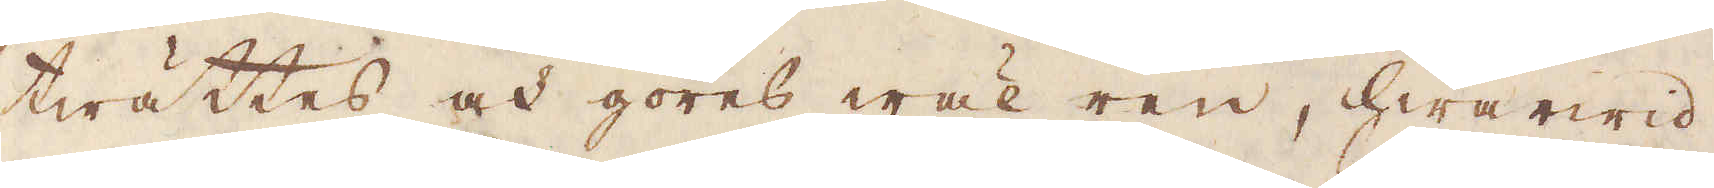twättes och göres wäl ren, hwarwid
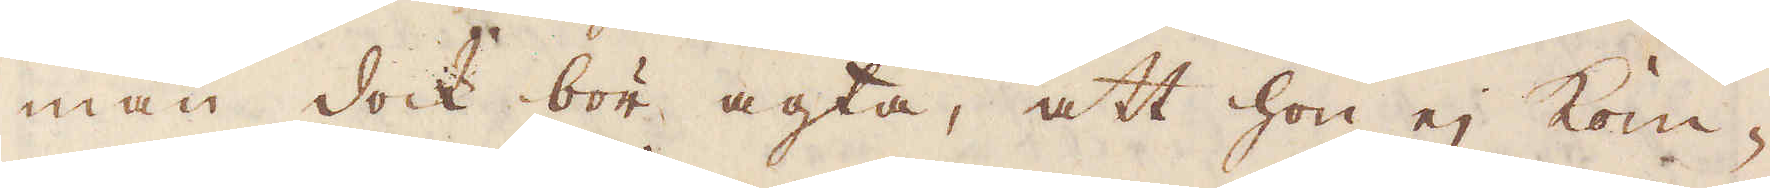man dock bör agta, att hon ej kom-
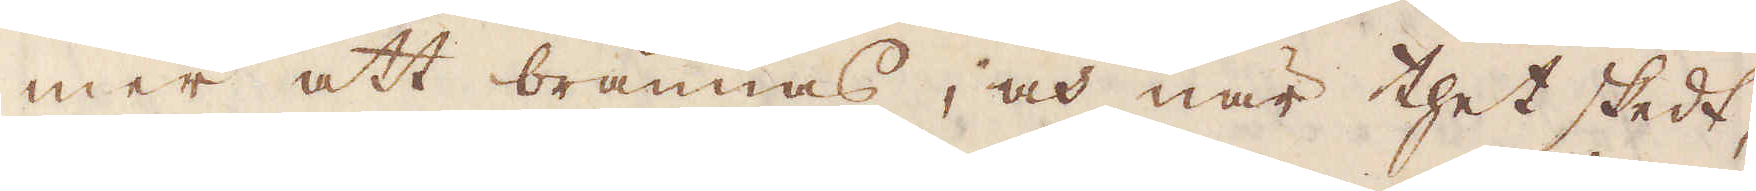mer att brännas, och när thet skedt,
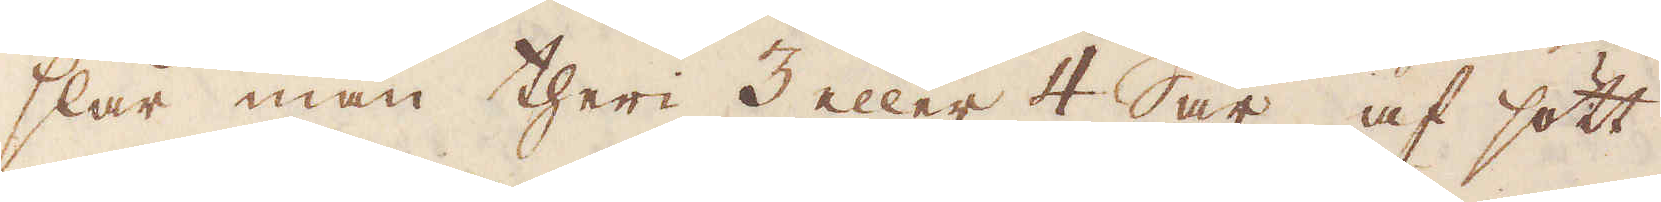slår man theri 3 eller 4 Sår, af sött
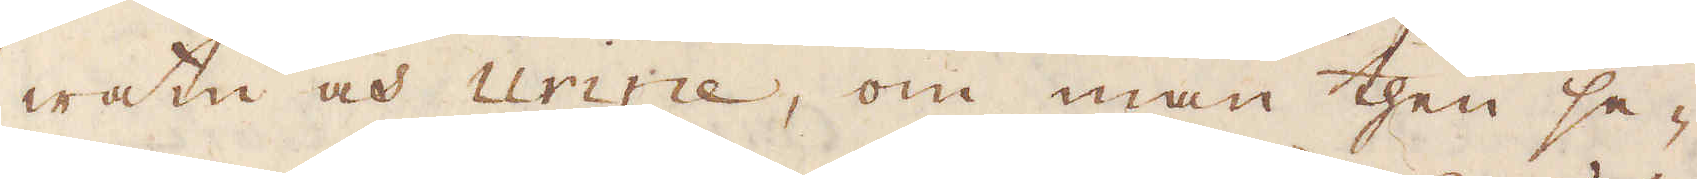watn och urine, om man then se-
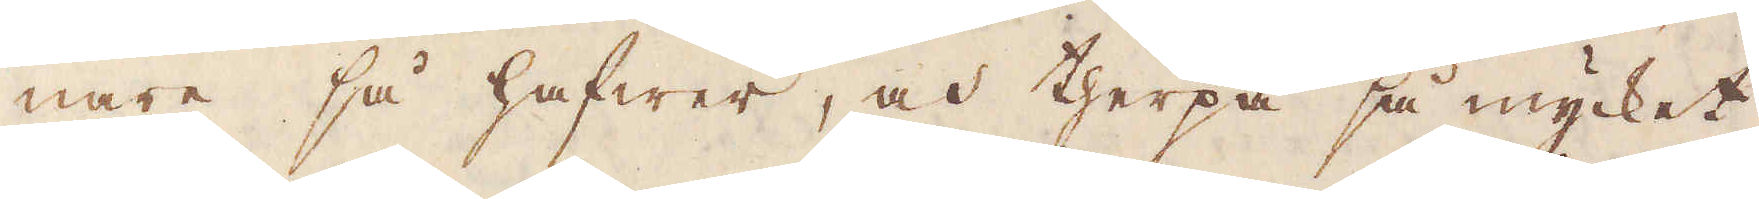nare så hafwer, och therpå så mycket
